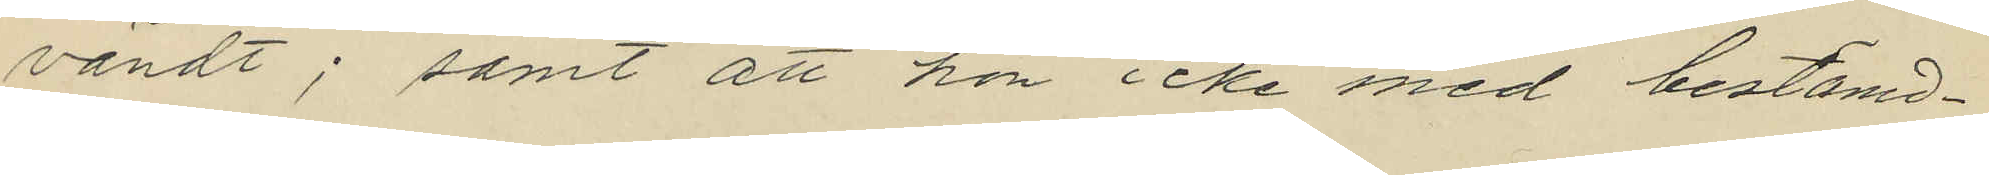vändt; samt att hon icke med bestämd¬
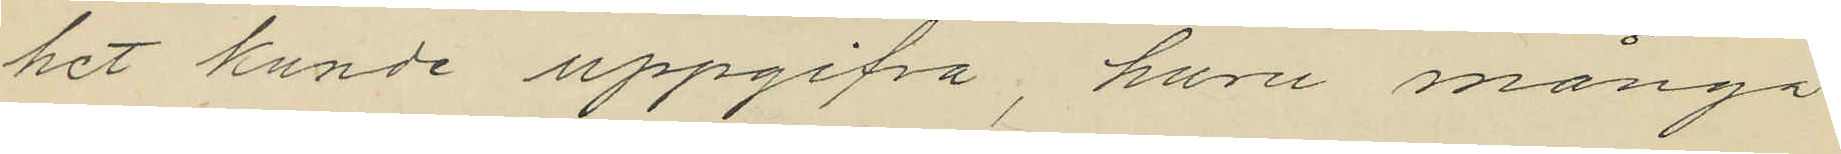het kunde uppgifva, huru många
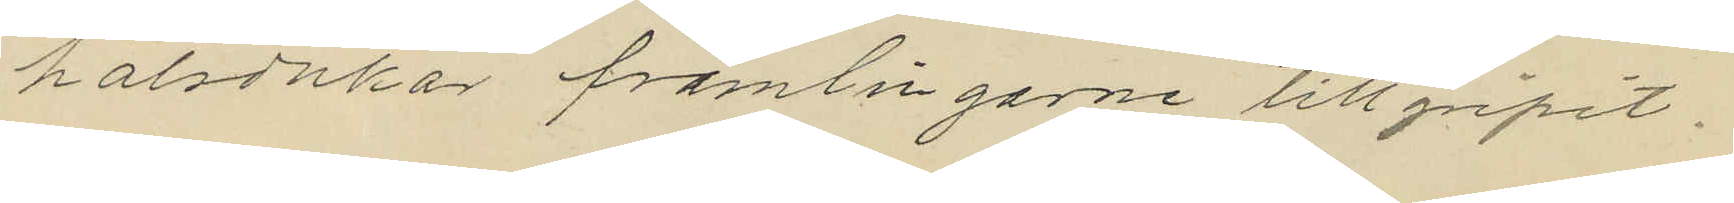halsdukar främligarne tillgripit.
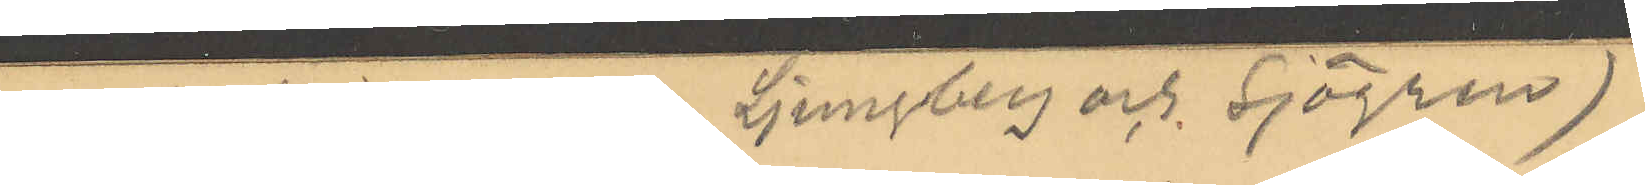 (anteckningar ang. Ljungberg och Sjögren)
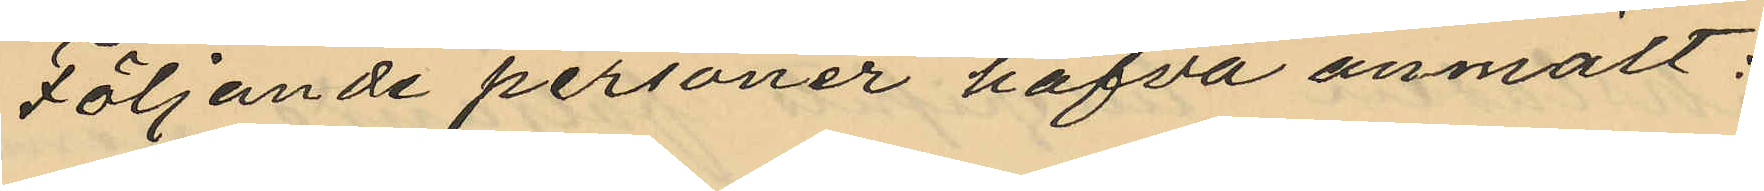Följande personer hafva anmält:
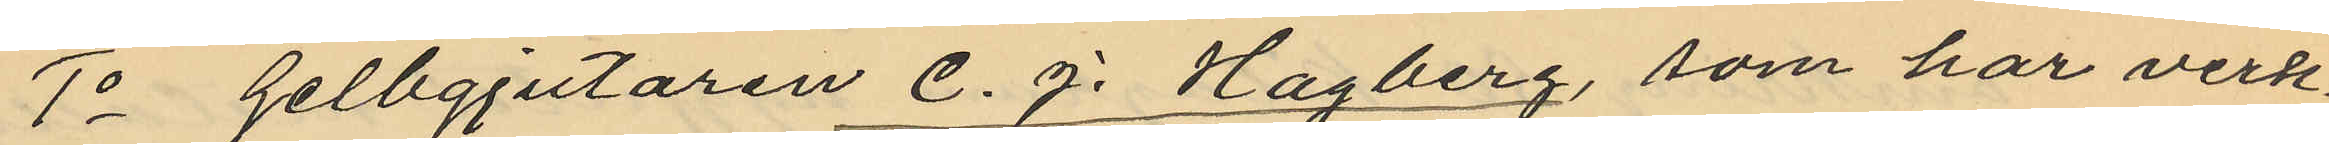1o Gelbgjutaren C. J. Hagberg, som har verk¬
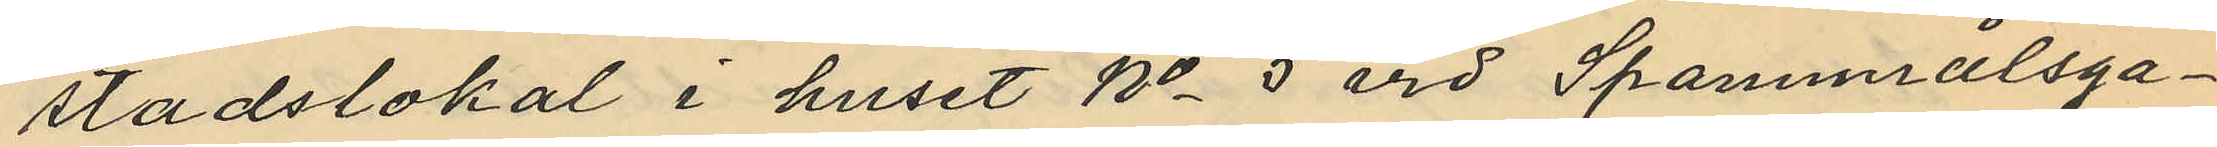stadslokal i huset No 5 vid Spannmålsga¬
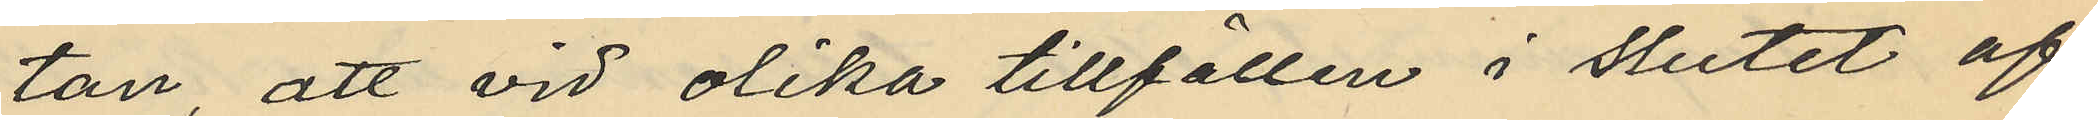tan, att vid olika tillfällen i slutet af
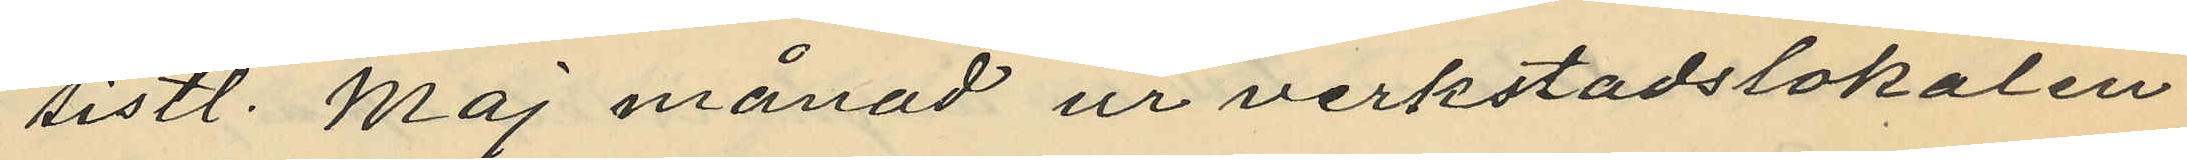sistl. Maj månad ur verkstadslokalen
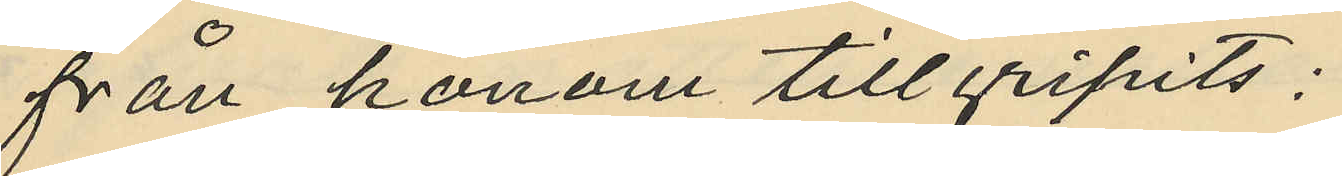från honom tillgripits:
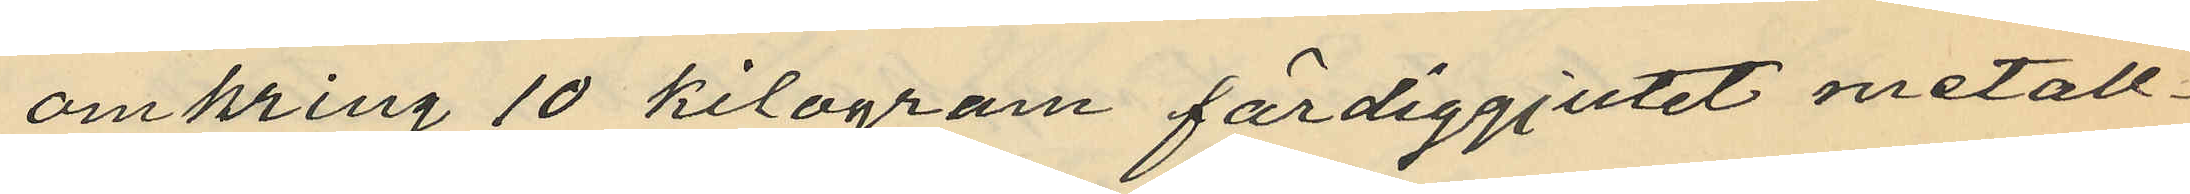omkring 10 kilogram färdiggjutet metall¬
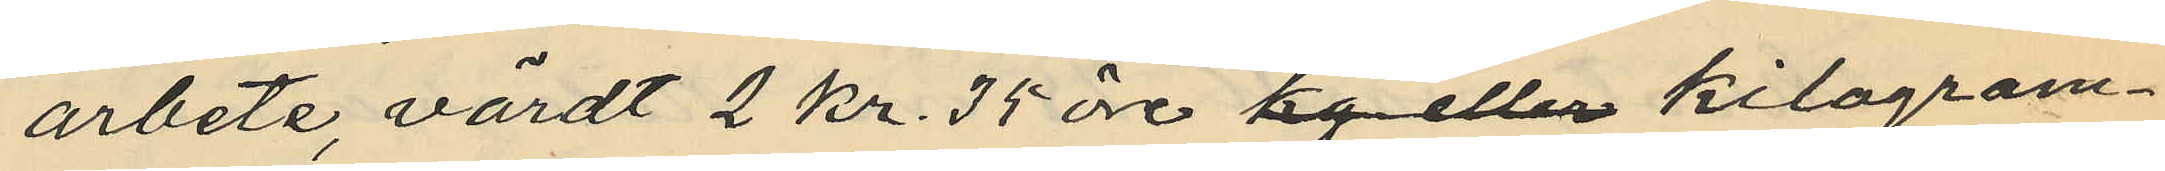arbete, värdt 2 kr. 35 öre kg eller kilogram¬
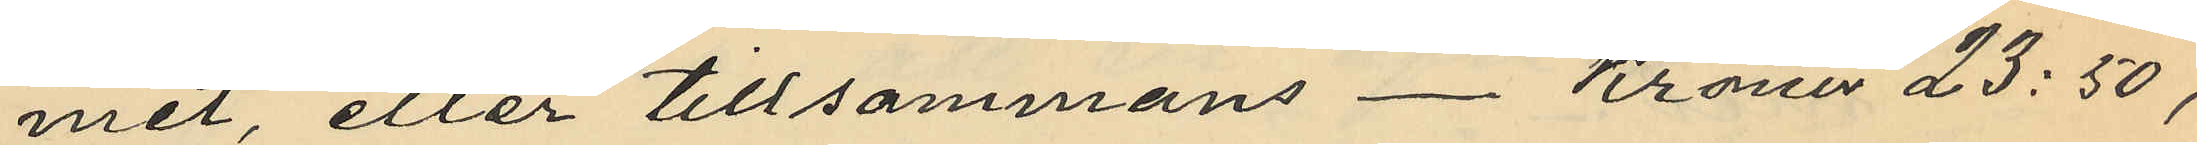met, eller tillsammans - Kronor 23:50,
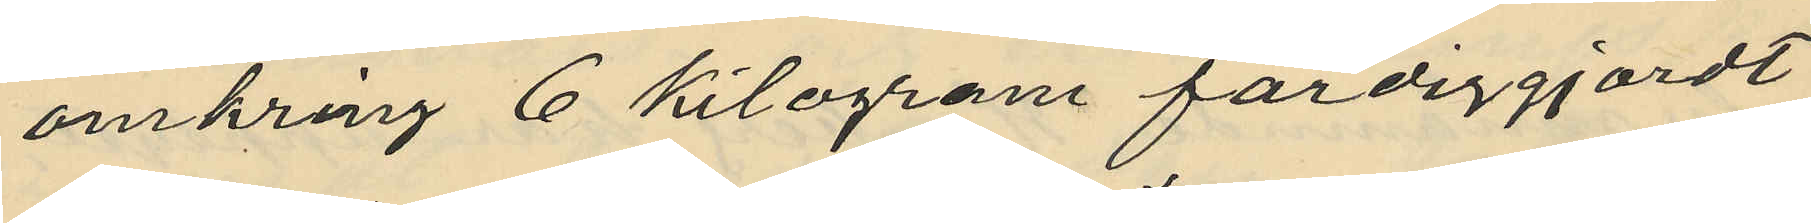omkring 6 kilogram färdiggjordt
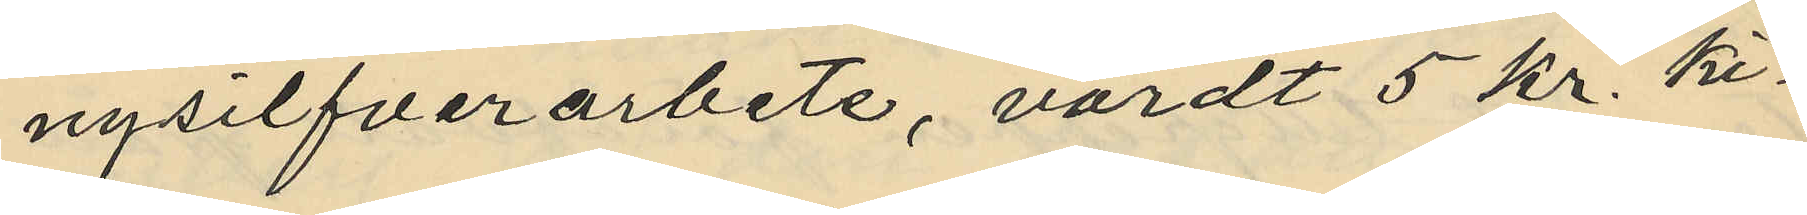nysilfverarbete, värdt 5 kr. ki¬
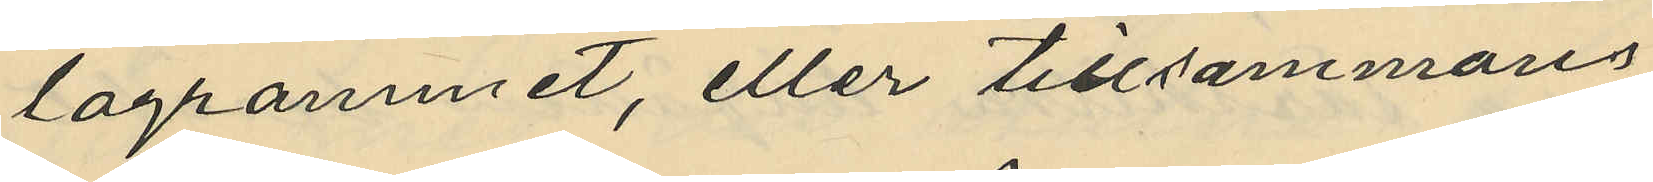logrammet, eller tillsammans
